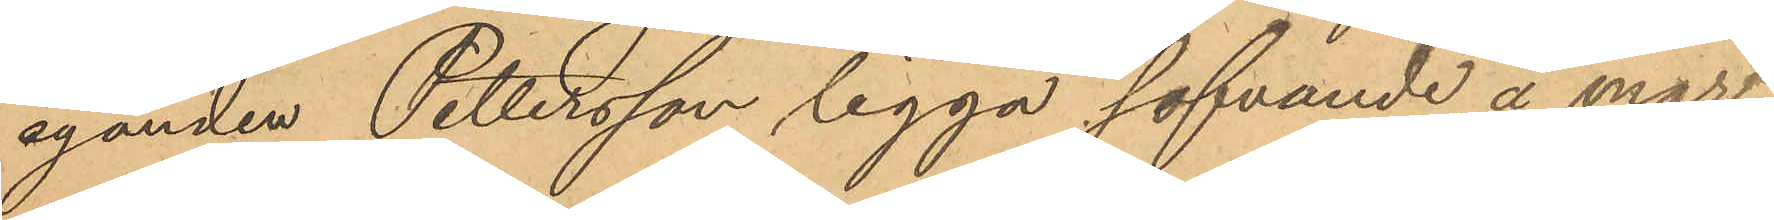eganden Pettersson ligga sofvande å mar¬
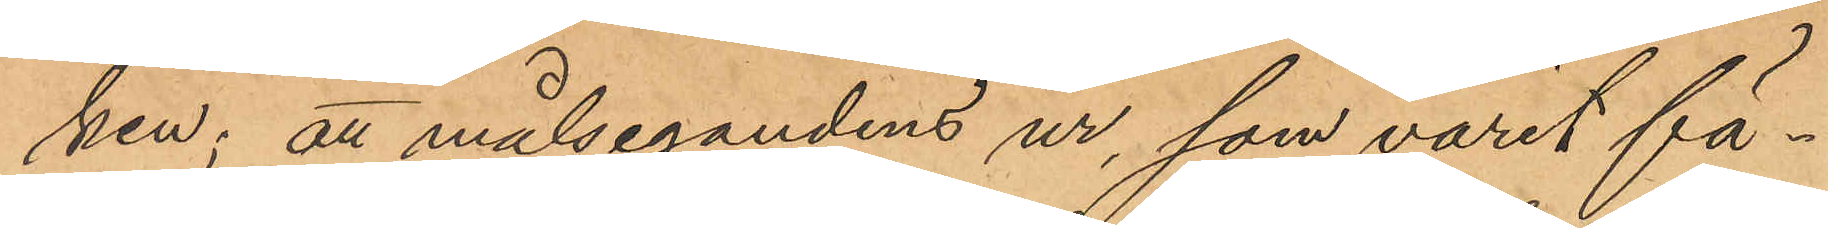ken; att målsegandens ur, som varit fä¬
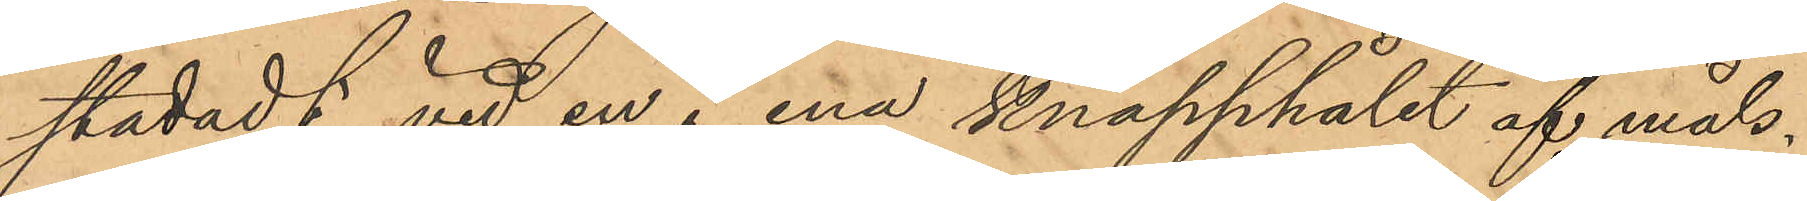stadadt vid en i ena knapphålet af måls¬
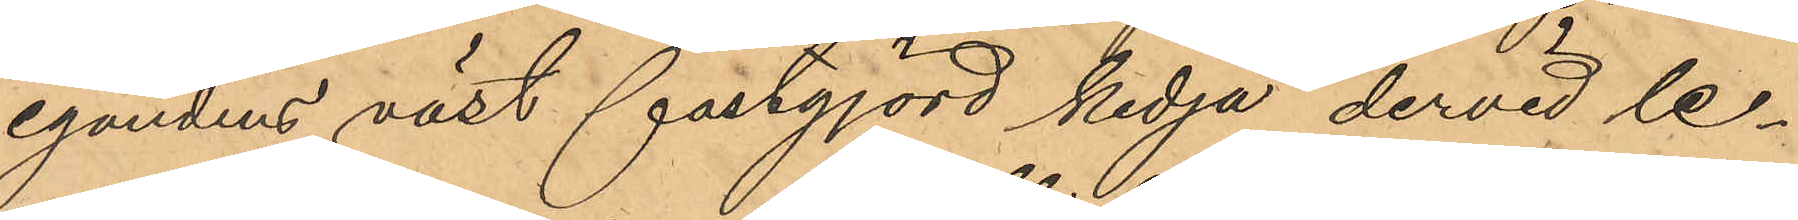egandens väst fastgjord kedja dervid le¬
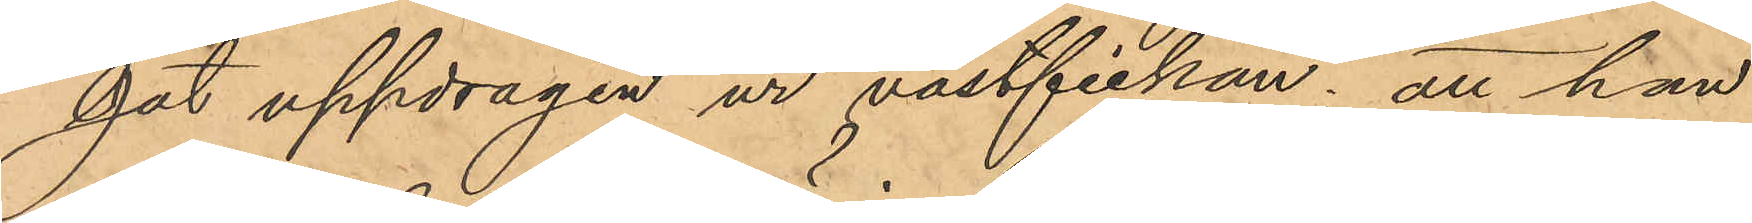gat uppdragen ur västfickan; att han
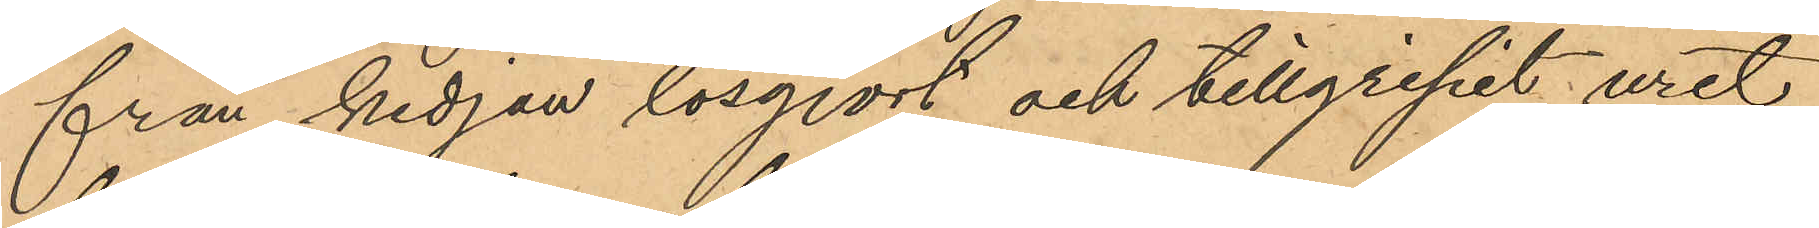från kedjan lösgjort och tillgripit uret,
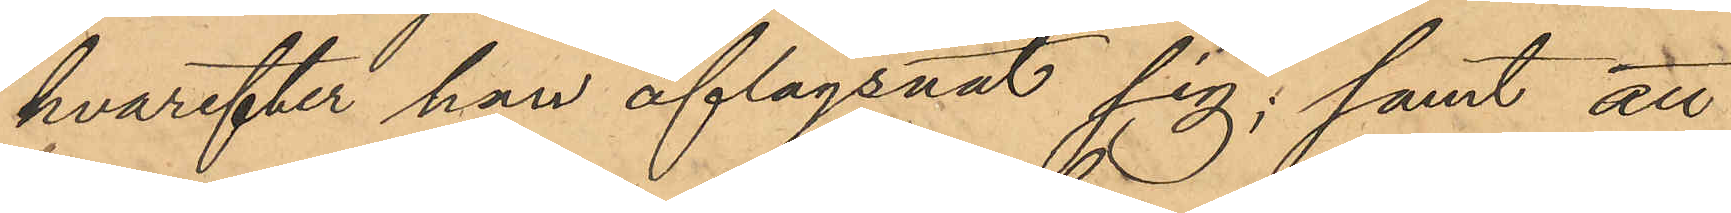hvarefter han aflägsnat sig; samt att
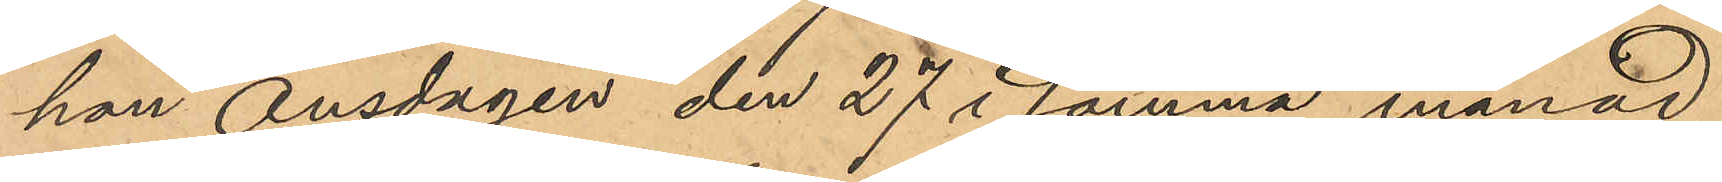han onsdagen den 27 i samma månad
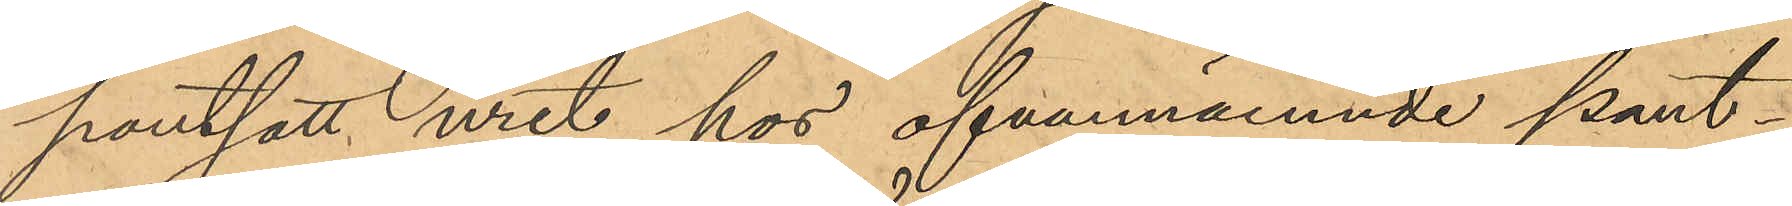pantsatt uret hos ofvannämnde pant¬
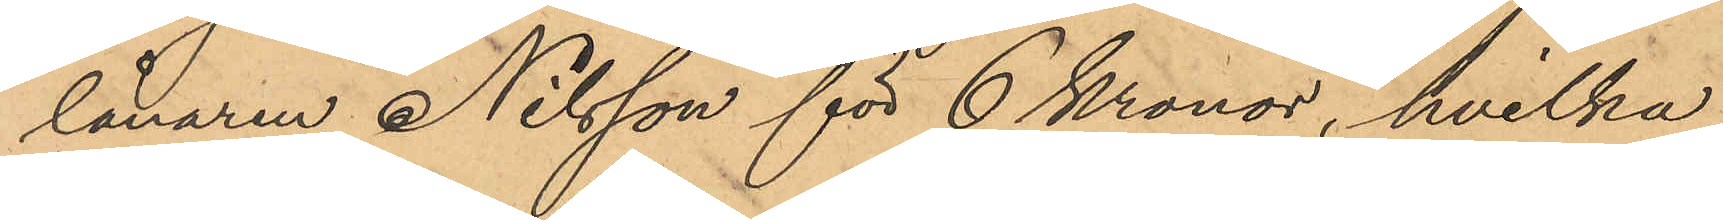lånaren Nilsson för 6 Kronor, hvilka
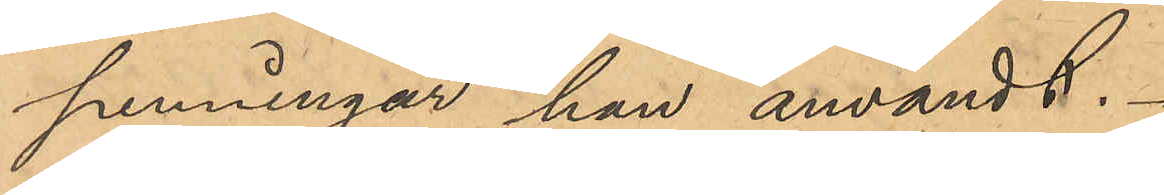penningar han användt.
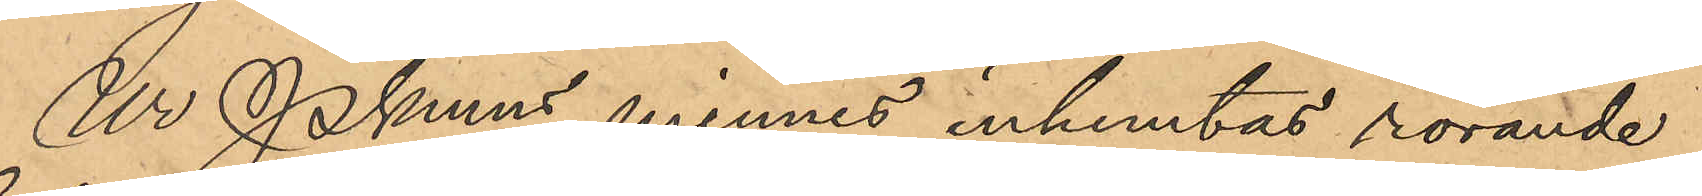Ur Pkmns minnes inhemtas rörande
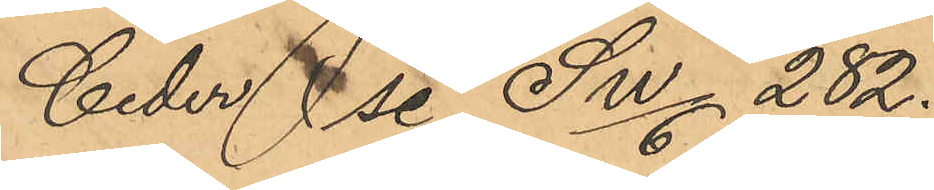Ceder se SW/6 282.
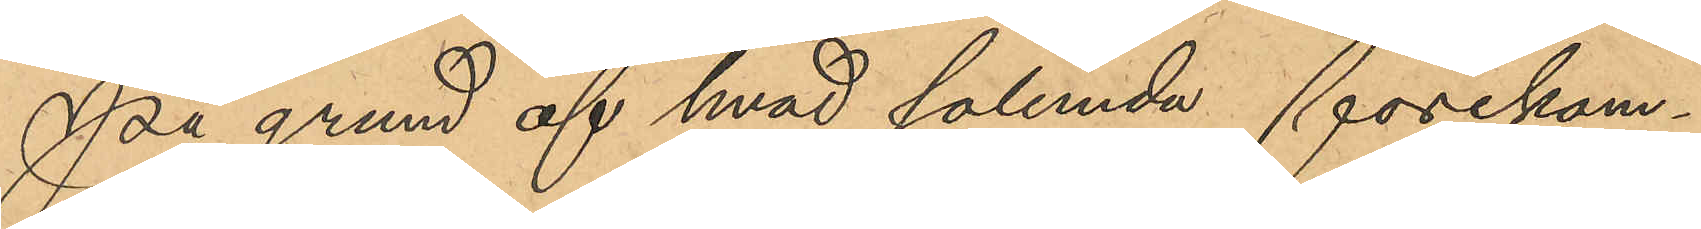På grund af hvad sålunda förekom¬
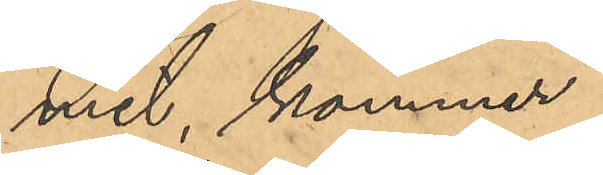mit, kommer
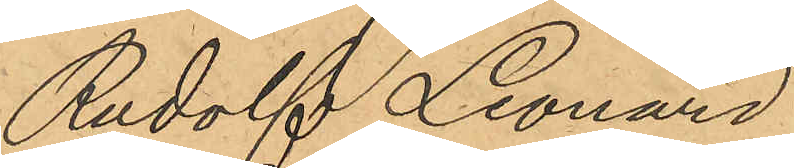Rudolf Leonard
